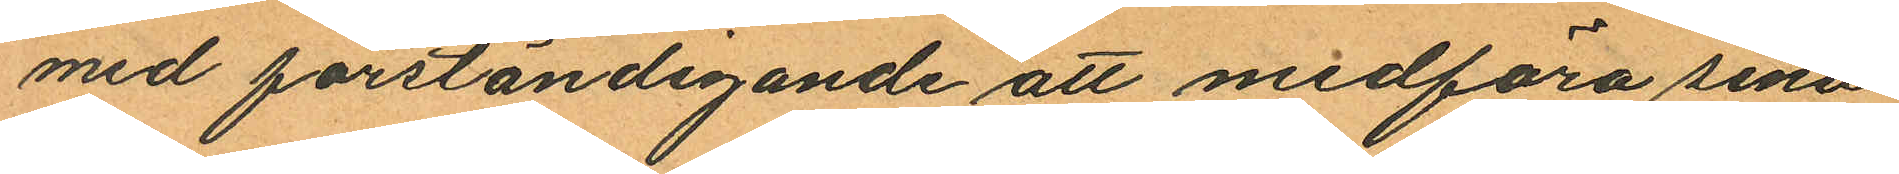med förständigande att medföra sina
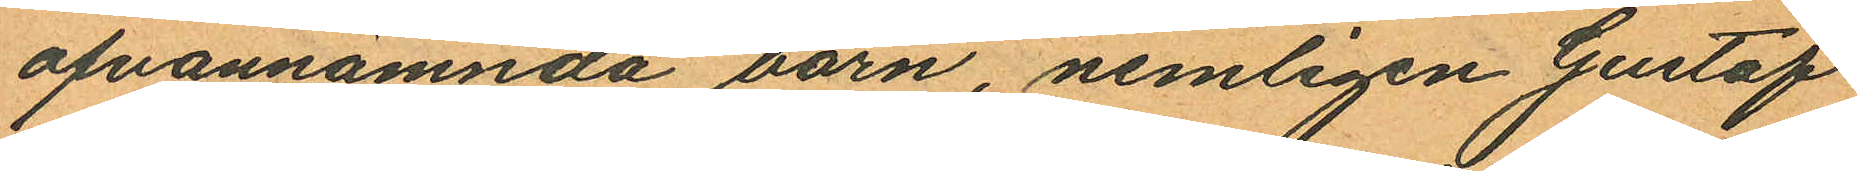ofvannämnda barn, nemligen Gustaf
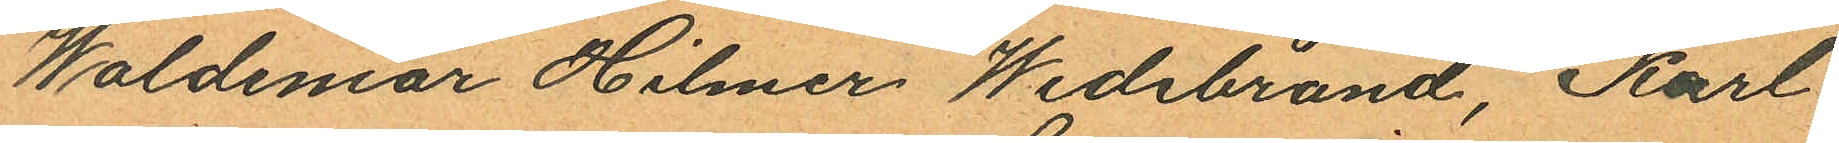Waldemar Hilmer Wedebrand, Karl
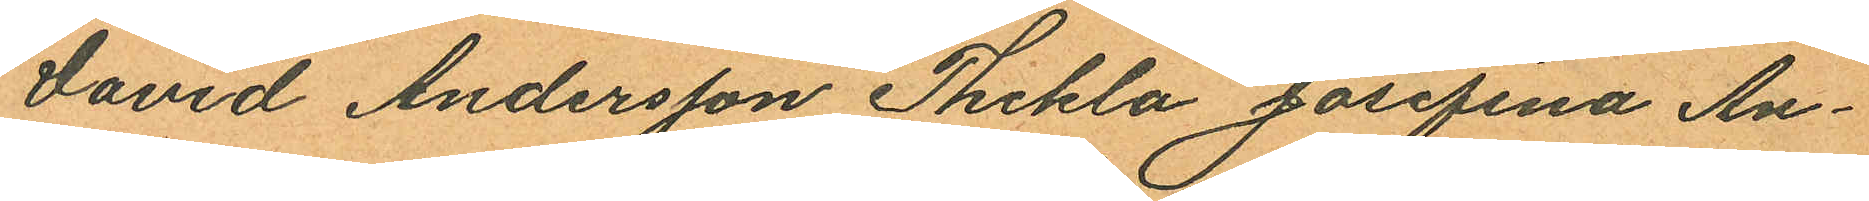David Andersson Thekla Josefina An¬
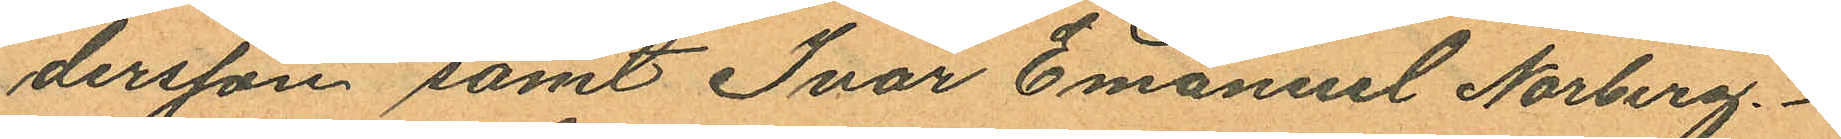dersson samt Ivar Emanuel Norberg.
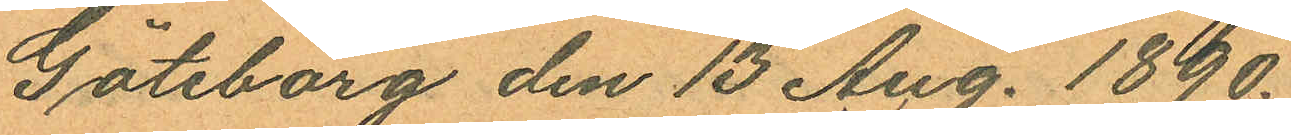Göteborg den 13 Aug. 1890.
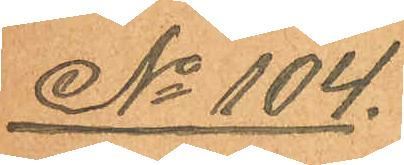No 104.
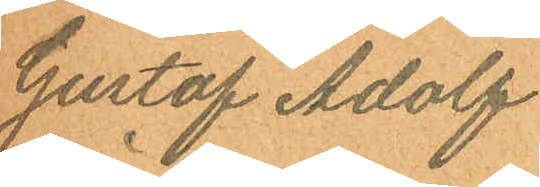Gustaf Adolf
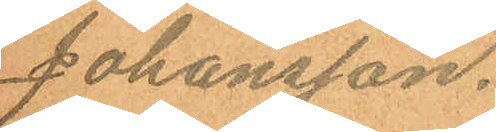Johansson.
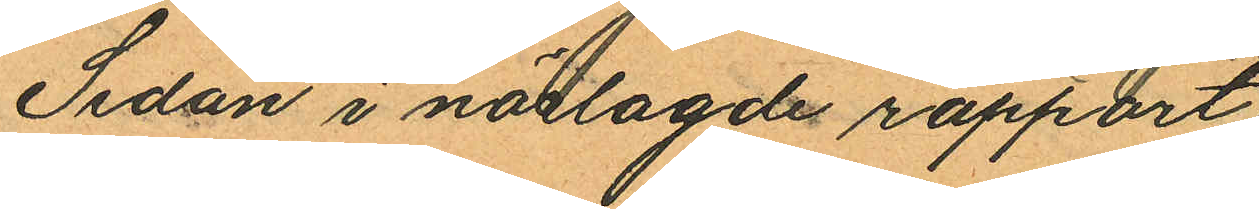Sedan i närlagde rapport
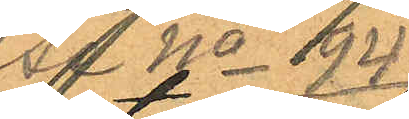Se No 94
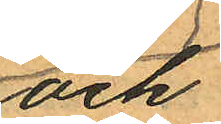och
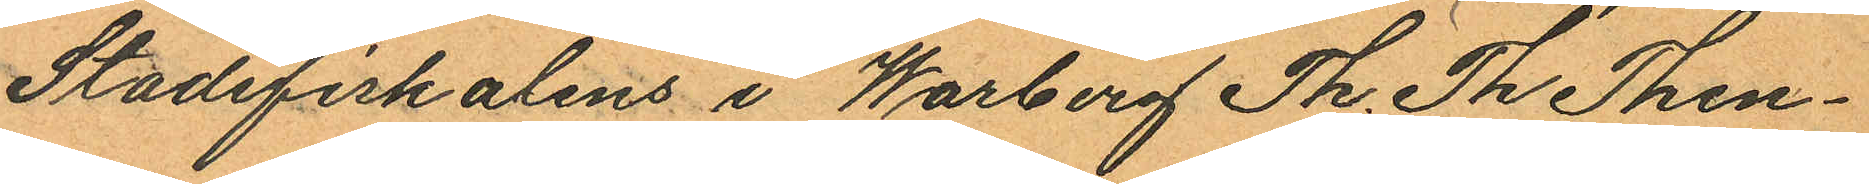Stadsfiskalens i Warberg Th. Th. Then¬
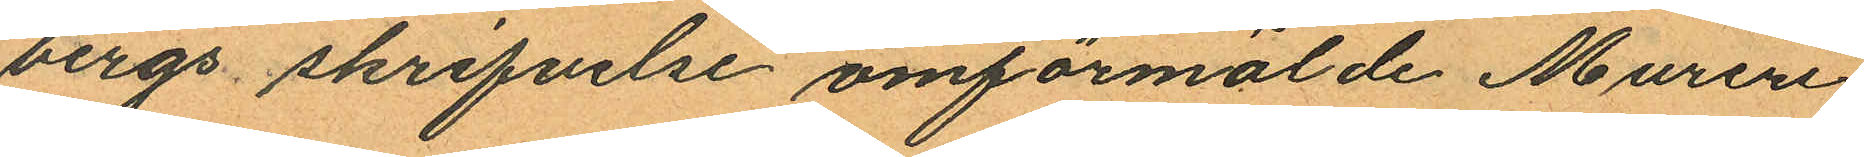bergs skrifvelse omförmälde Mureri¬
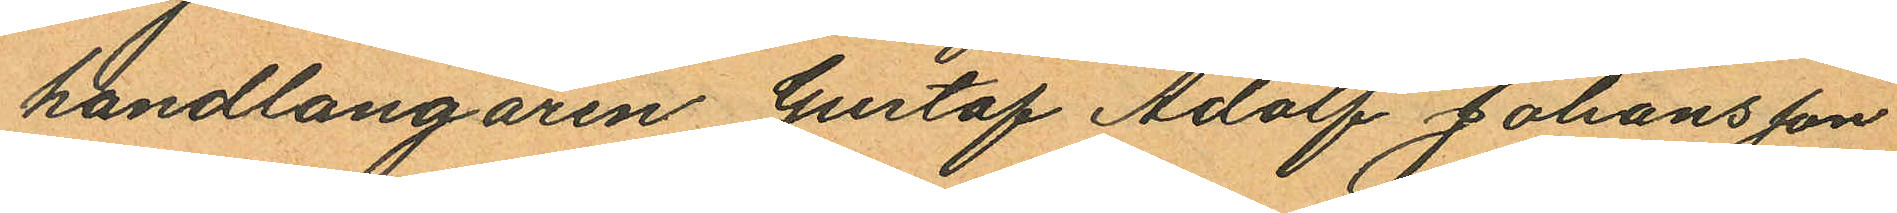handlangaren Gustaf Adolf Johansson
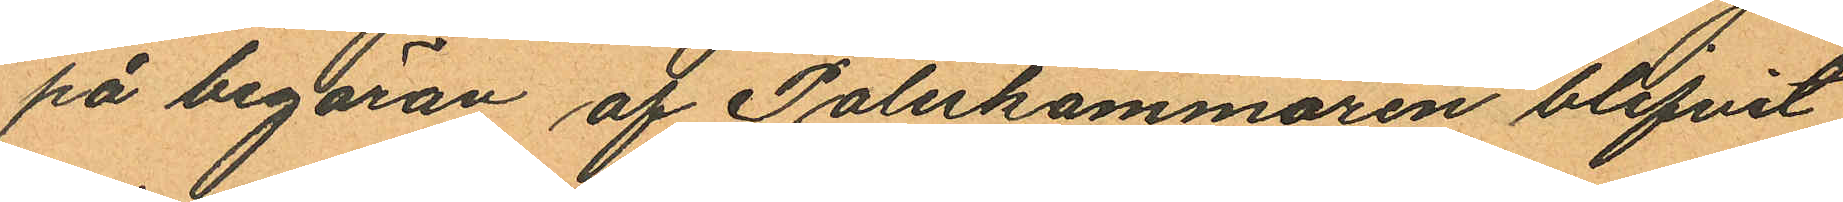på begäran af Poliskammaren blifvit
